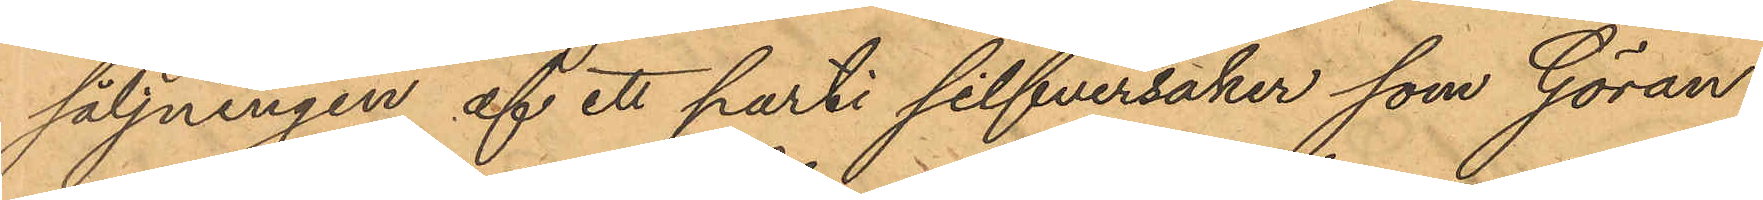säljningen af ett parti silfversaker som Göran
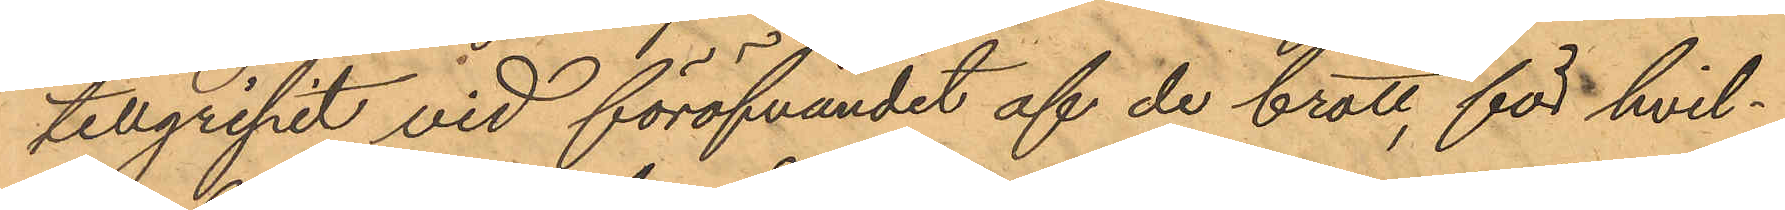tillgripit vid föröfvandet af de brott, för hvil¬
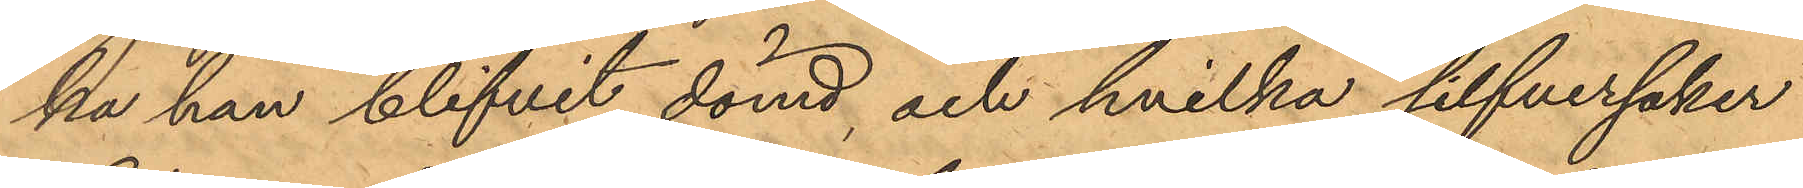ka han blifvit dömd, och hvilka silfversaker
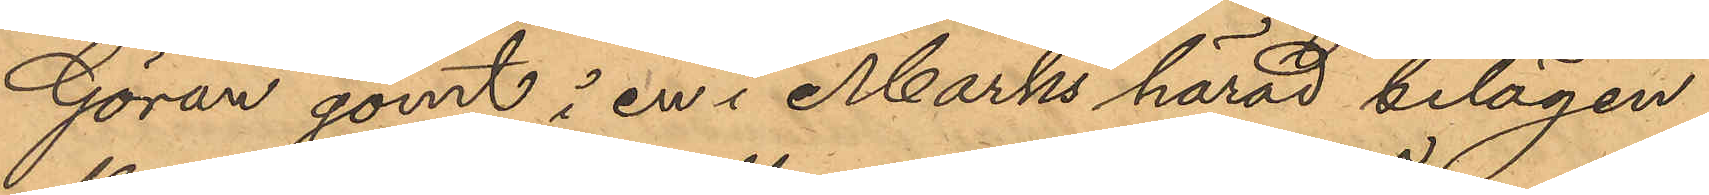Göran gömt å en i Marks härad belägen
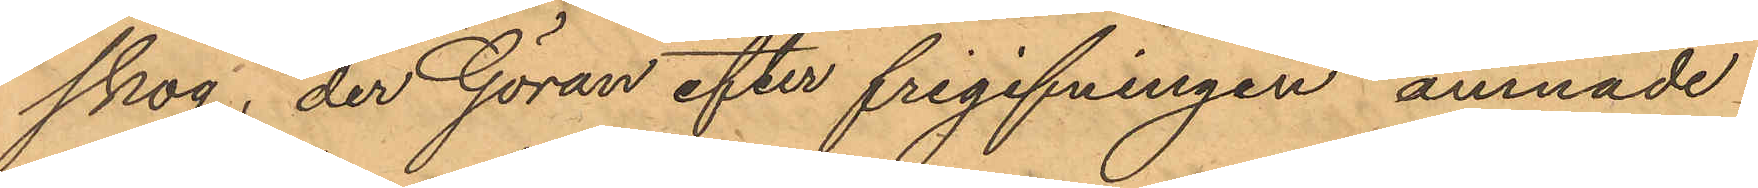skog, der Göran efter frigifningen ämnade
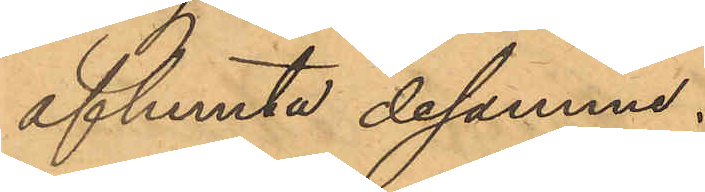afhemta desamme.
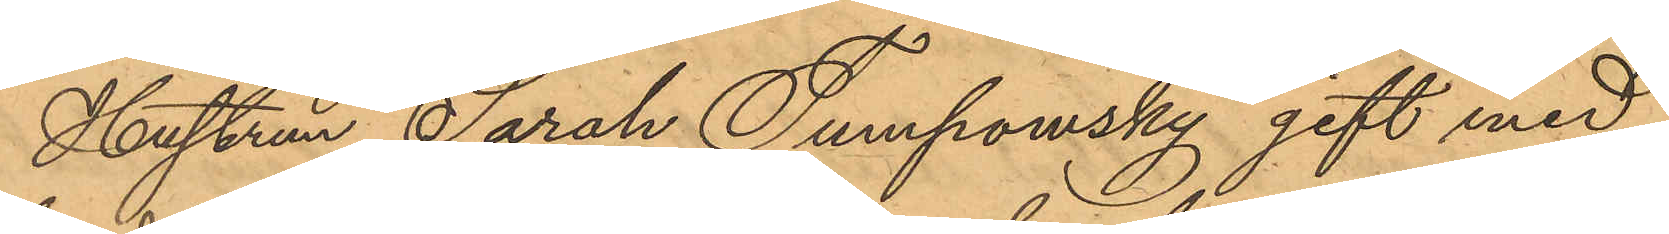Hustrun Sarah Tumpowsky gift med
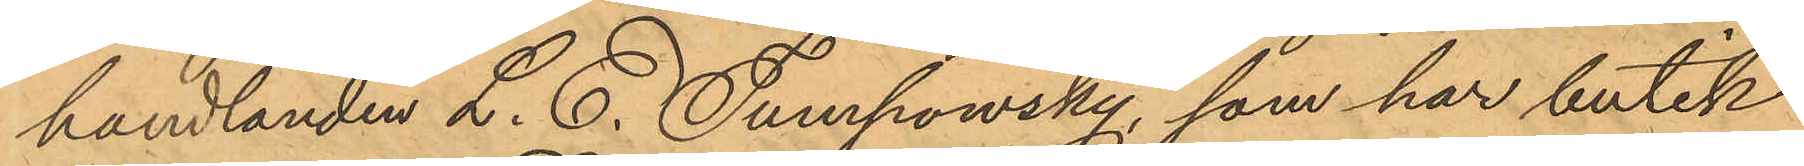handlanden L. E. Tumpowsky, som har butik
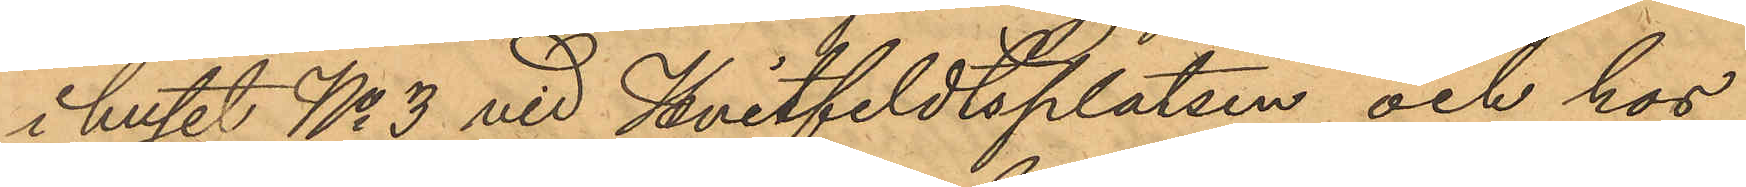i huset No 3 vid Hvitfeldtsplatsen och hos
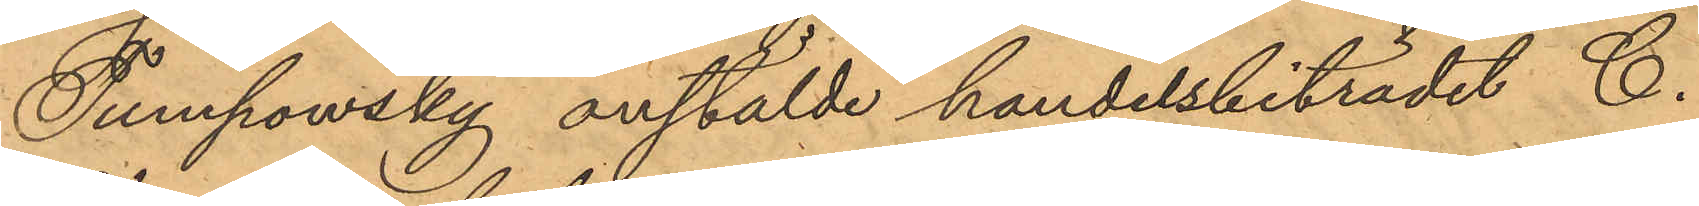Tumpowsky anstälde handelsbiträdet C.
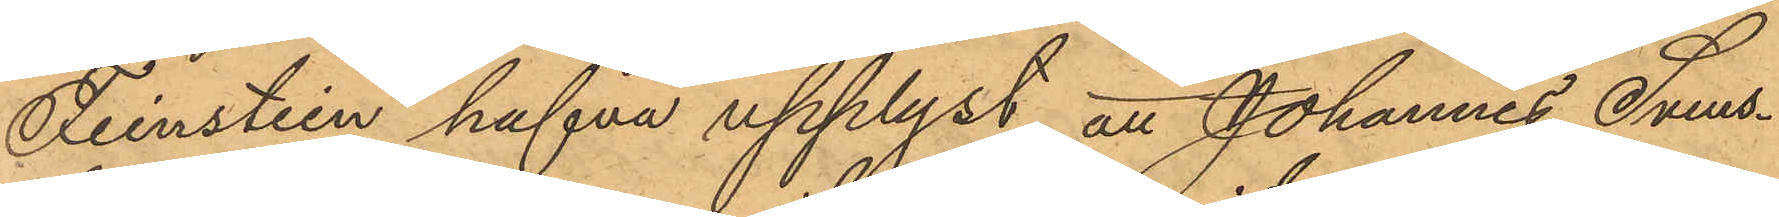Feinstein hafva upplyst, att Johannes Svens¬
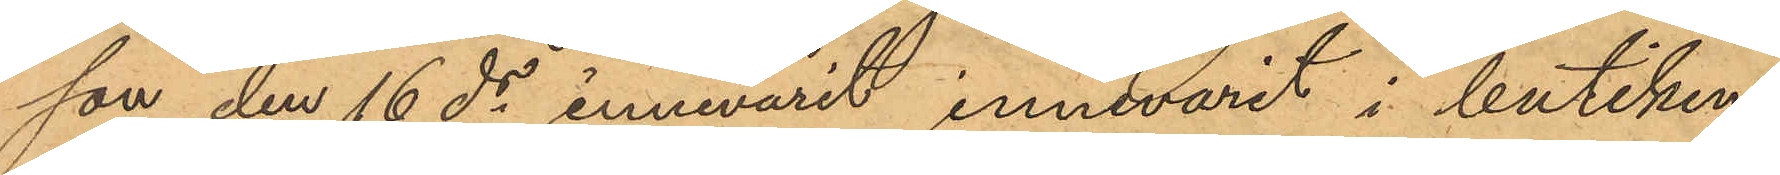son den 16 ds innevarit innevarit i butiken
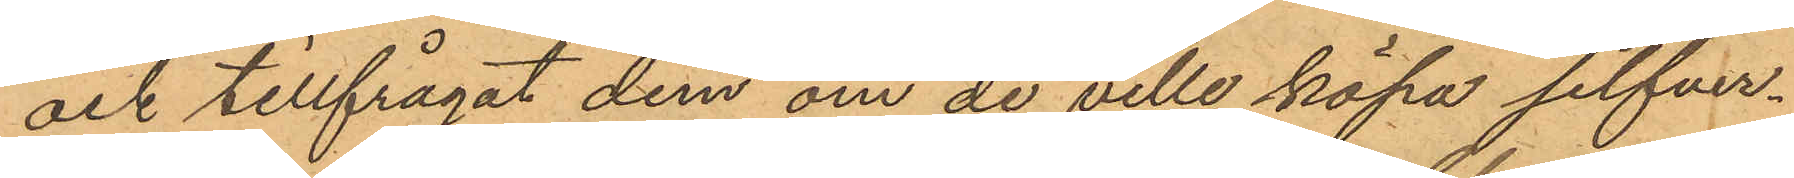och tillfrågat dem om de ville köpa silfver¬
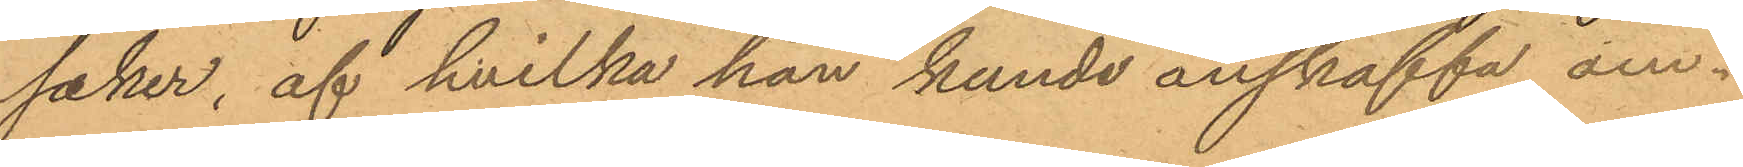saker, af hvilka han kunde anskaffa om¬
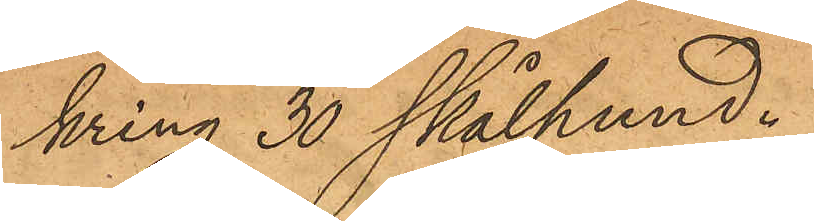kring 30 skålpund.
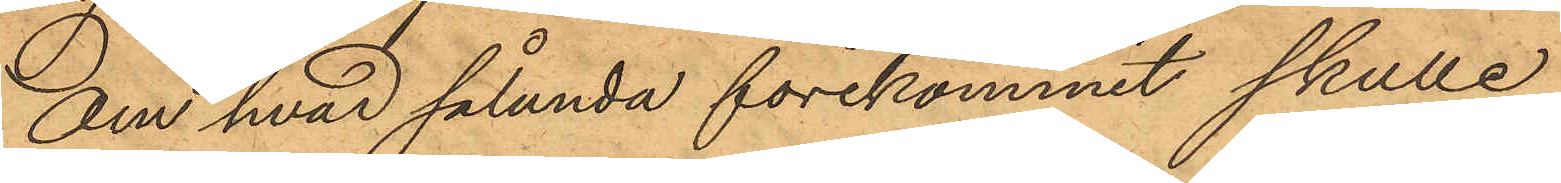Om hvad sålunda förekommit skulle
